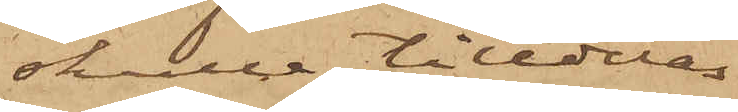skulle tilldelas
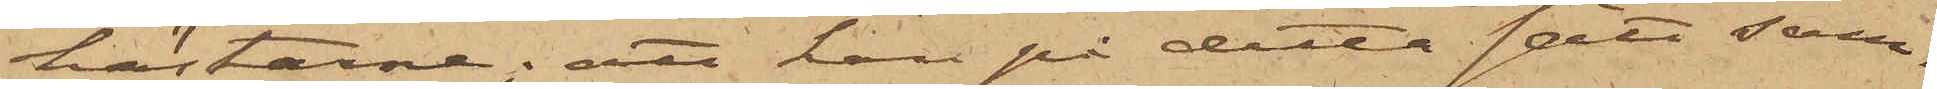hästarne; att han på detta sätt sam¬
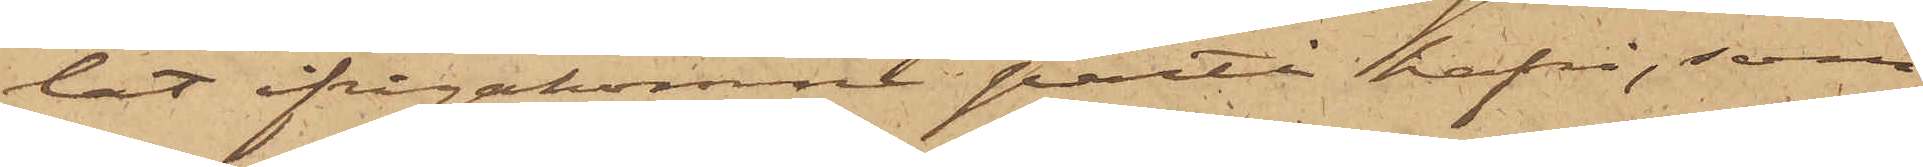lat ifrågakomne parti hafre, som
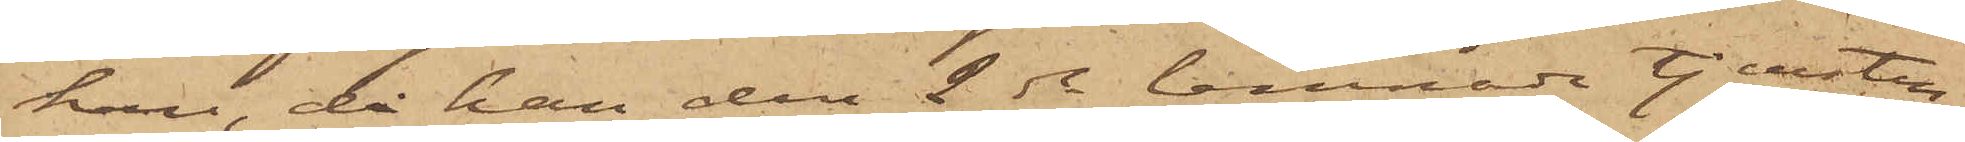han, då han den 2 ds lemnade tjensten,
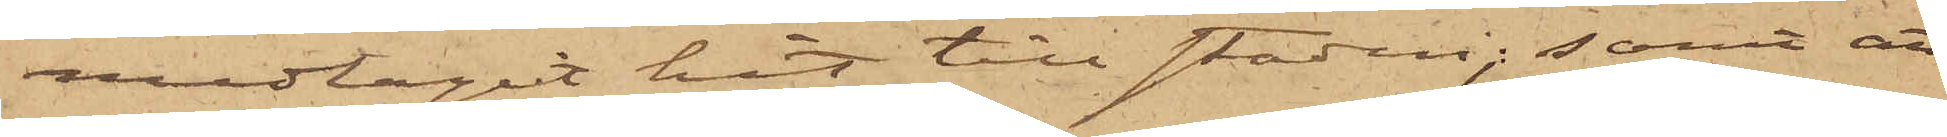medtagit hit till staden; samt att
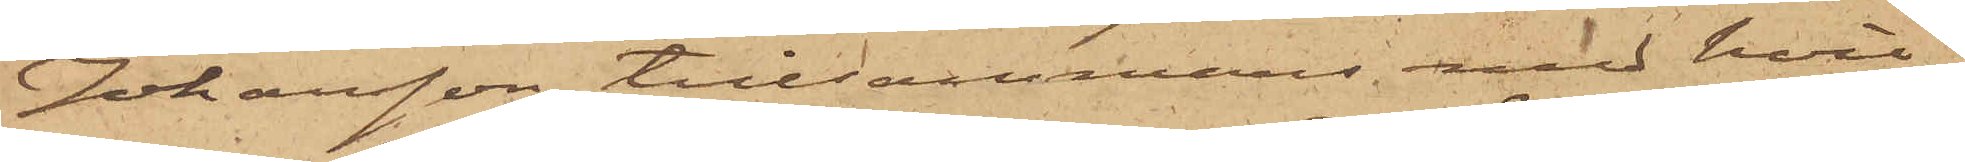Johansson, tillsammans med hvil¬
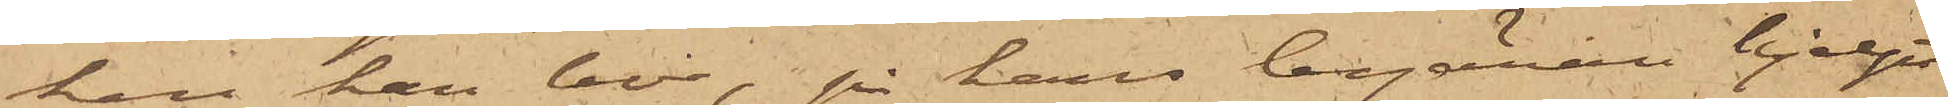ken han bor, på hans begäran hjelpt
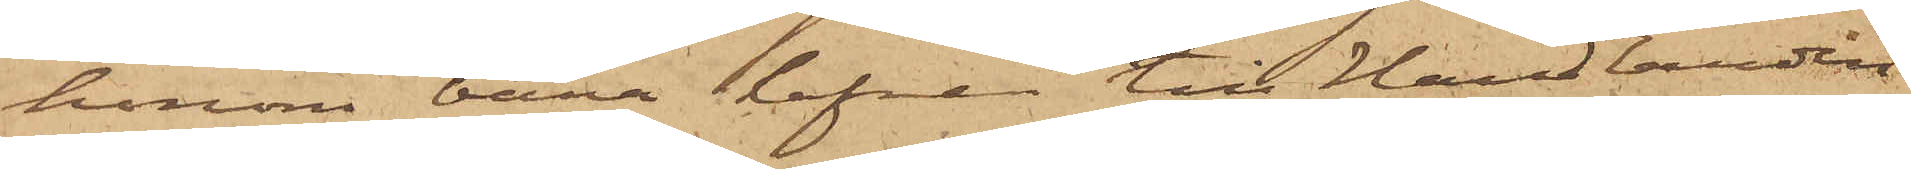honom bära hafren till Handlanden
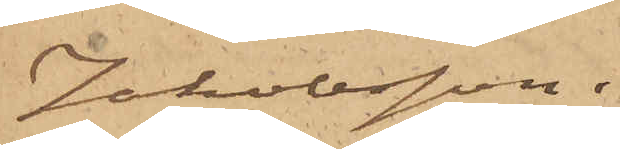Jakobsson.
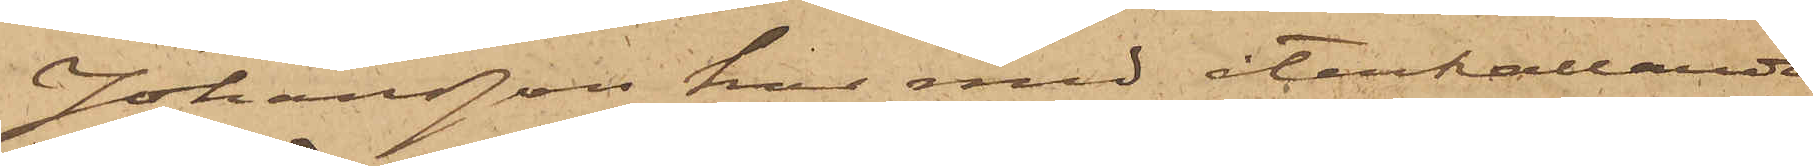Johansson har med återkallande
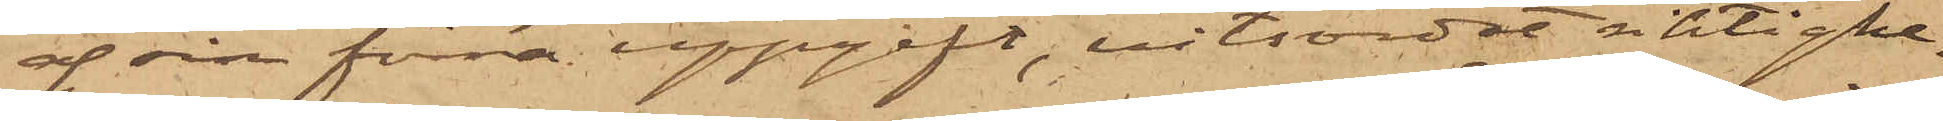af sin förra uppgift, vitsordat riktighe¬
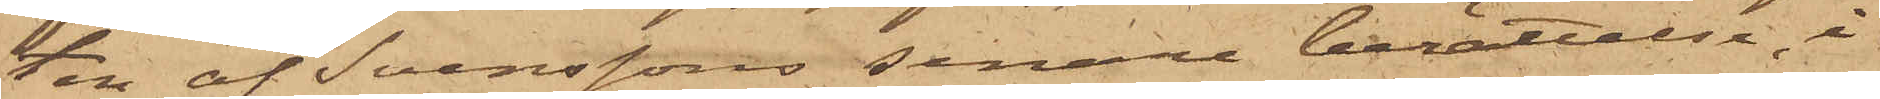ten af Svenssons senare berättelse, i
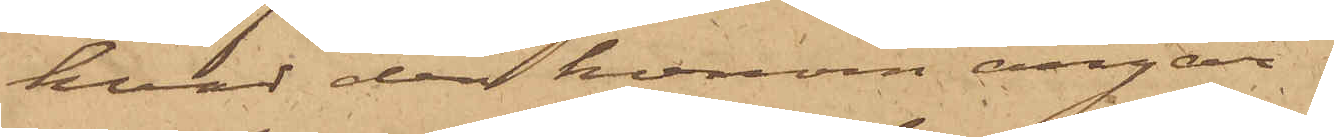hvad den honom angår.
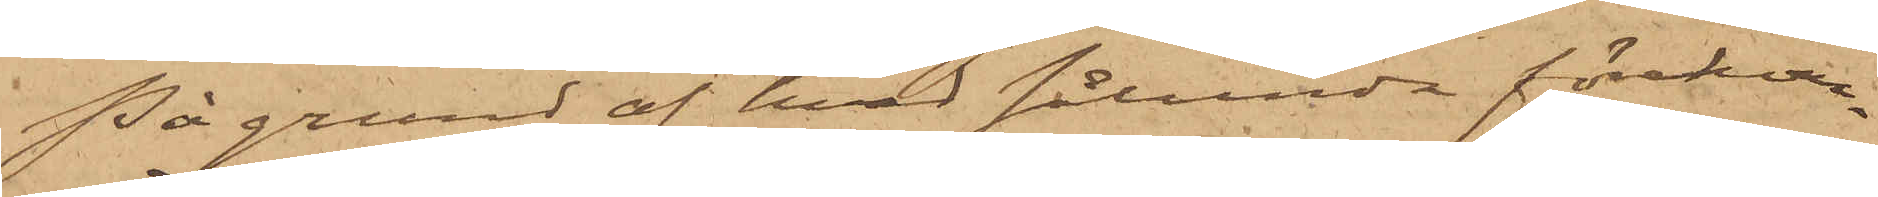På grund af hvad sålunda förekom¬
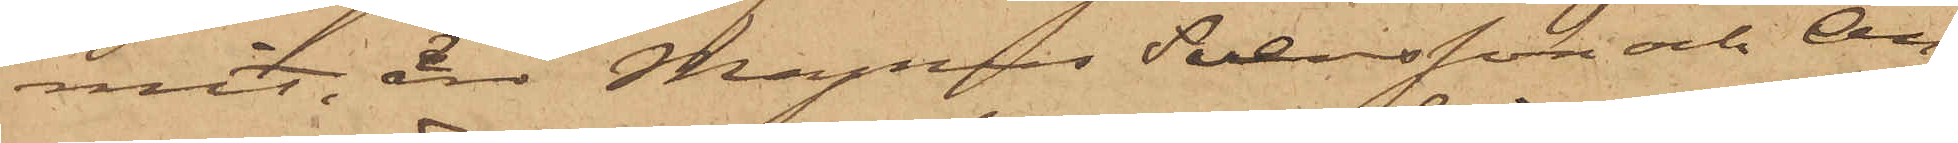mit, äro Magnus Svensson och An¬
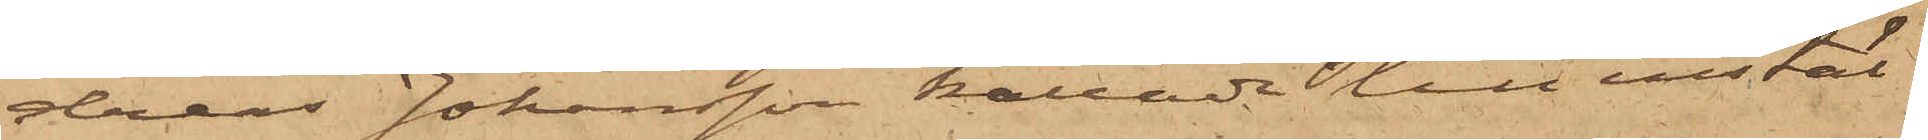dreas Johansson kallade till instäl¬
